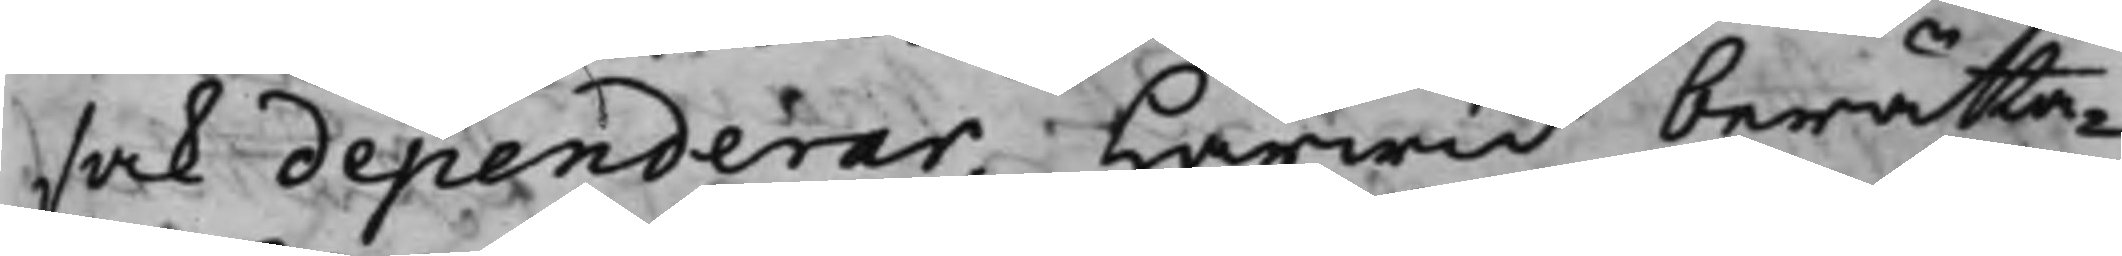sak dependerar.Härwid berätta¬
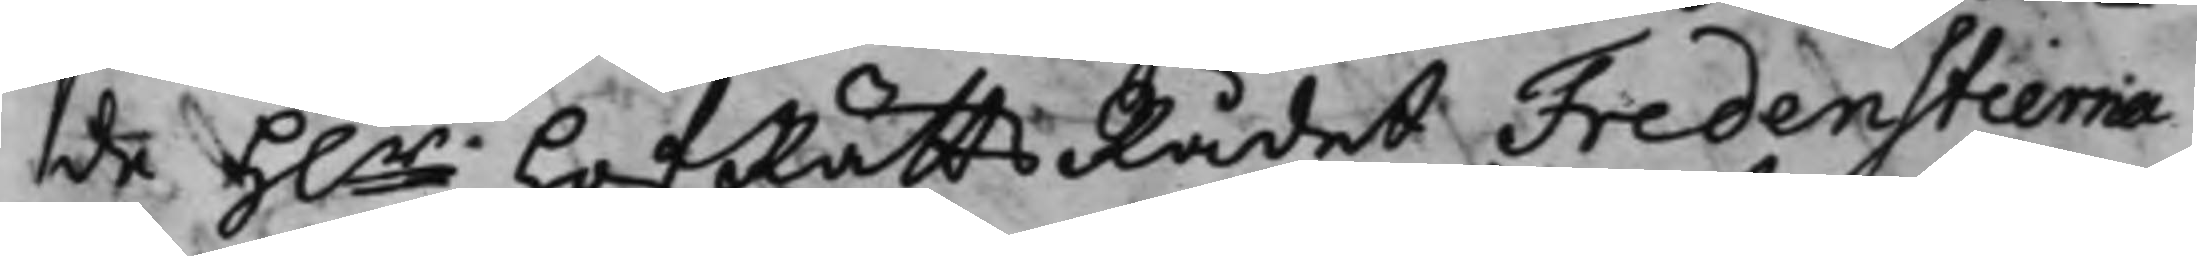de H.r HofRättsRådet Fredenstierna
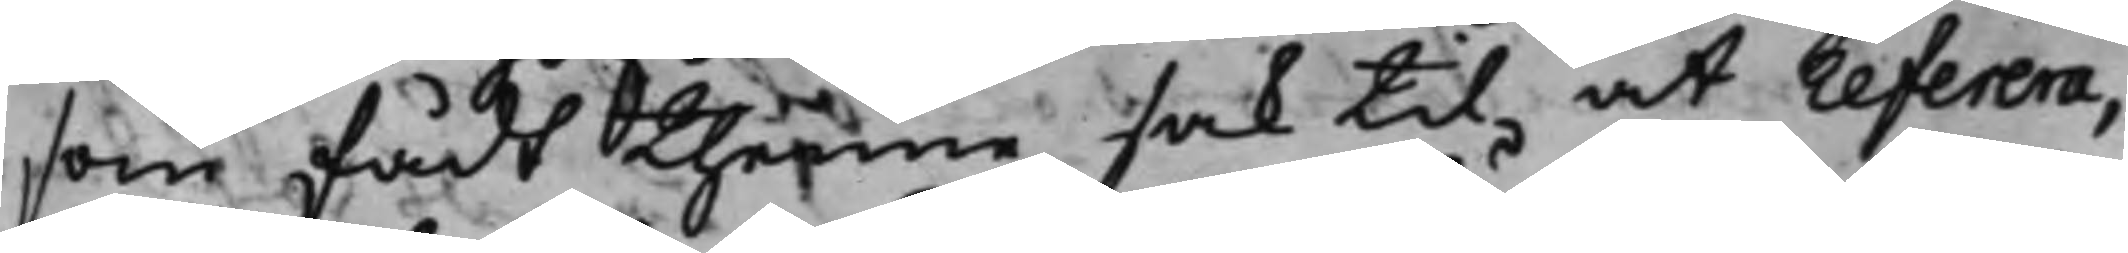som fådt thenne sak til at referera,
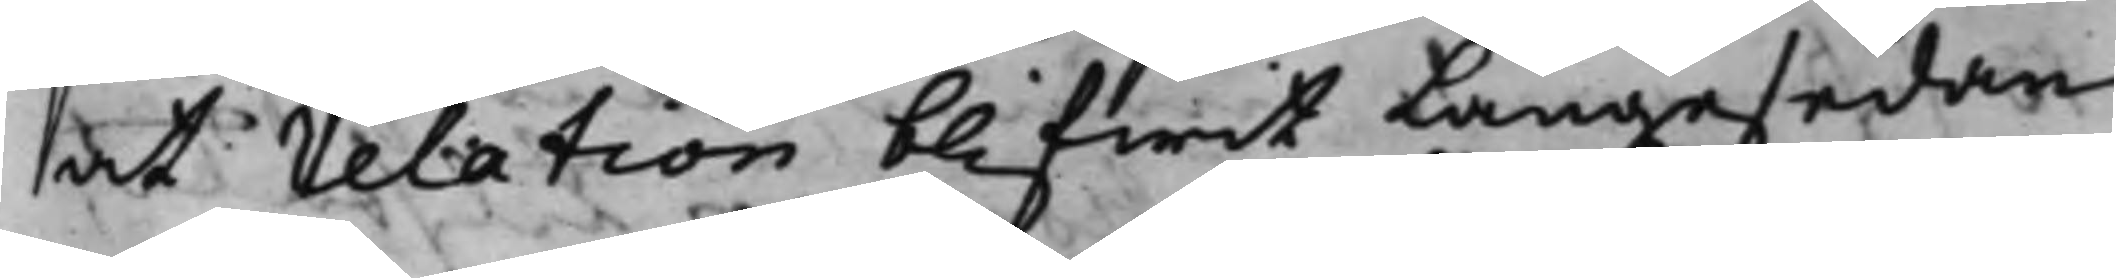at relation blifwit längesedan
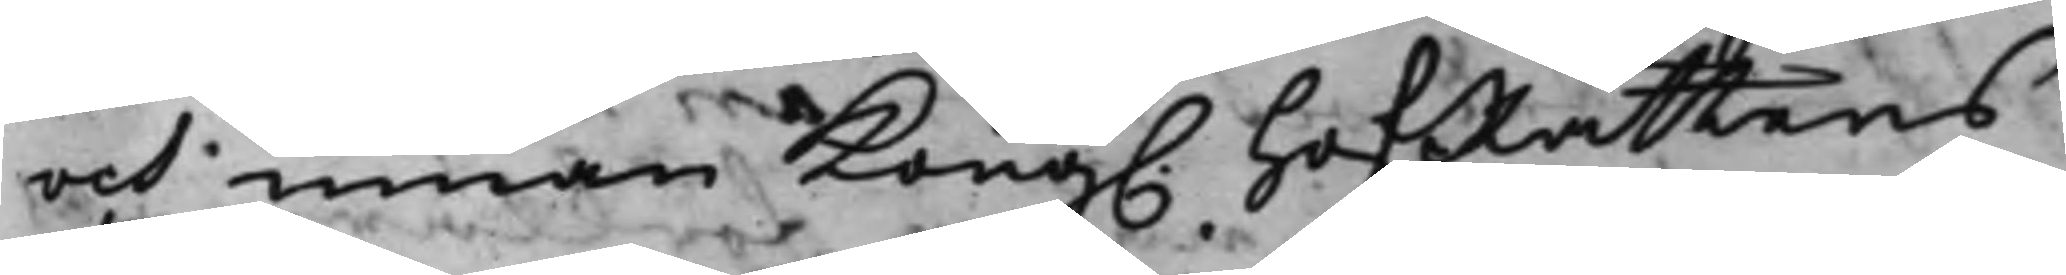och innan Kong. HofRättens
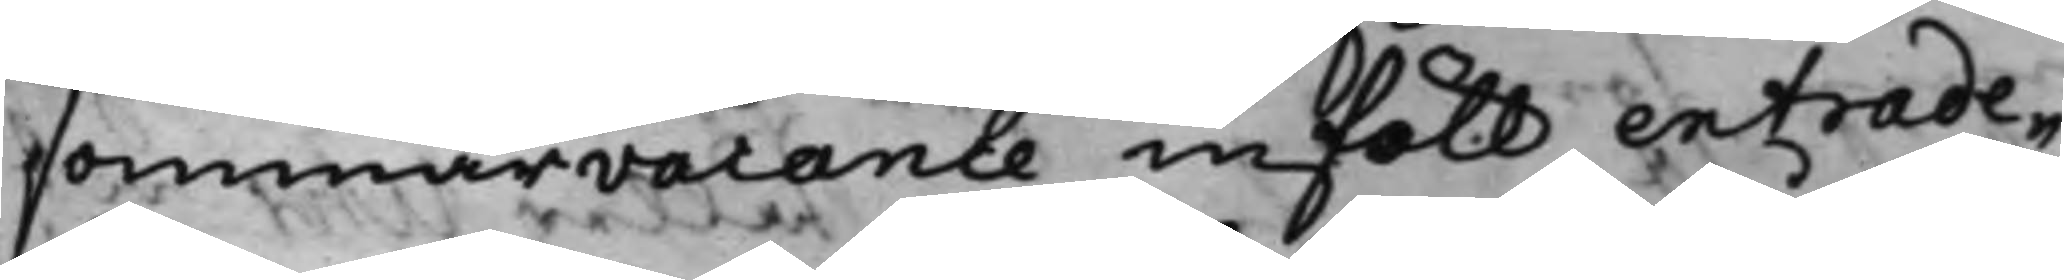sommarvacance inföll extrade¬
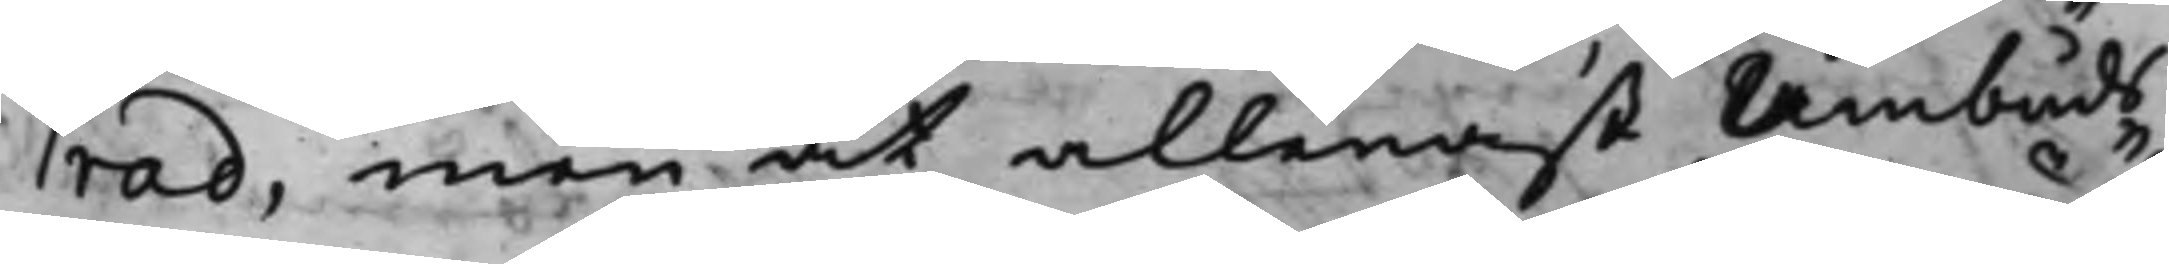rad, men at allenast Åmbuds¬
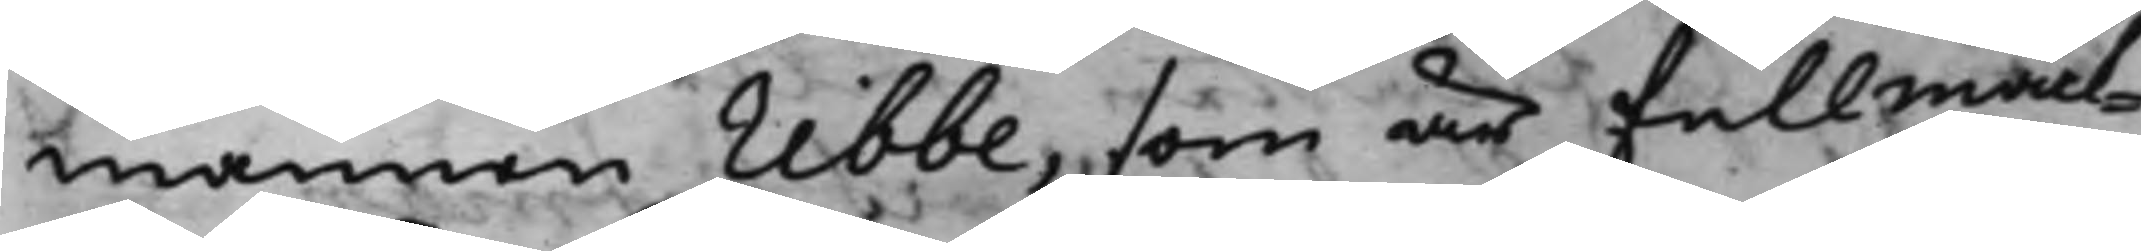mannen Ribbe, som är fullmäck¬
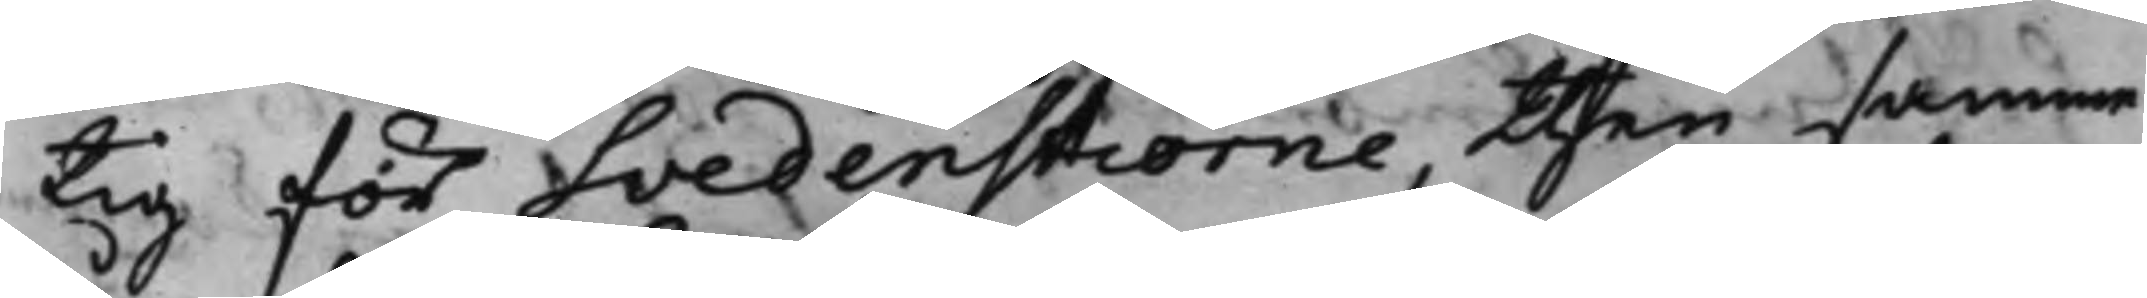tig för Svedenstierne, then samma
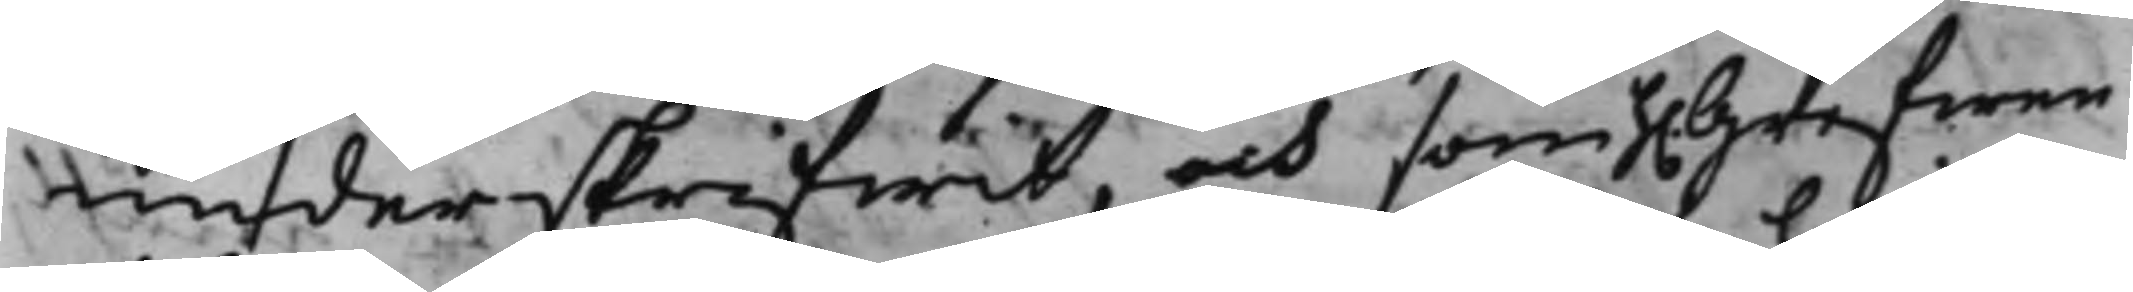underskrifwit, och som h.Grefwen
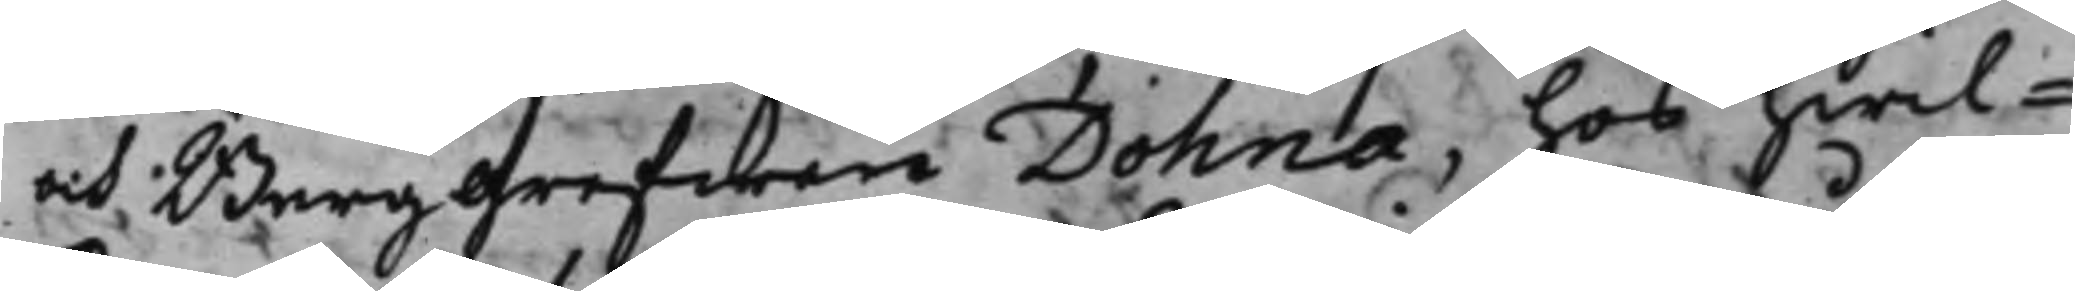och Burggrefwen Dohna, hos hwil¬
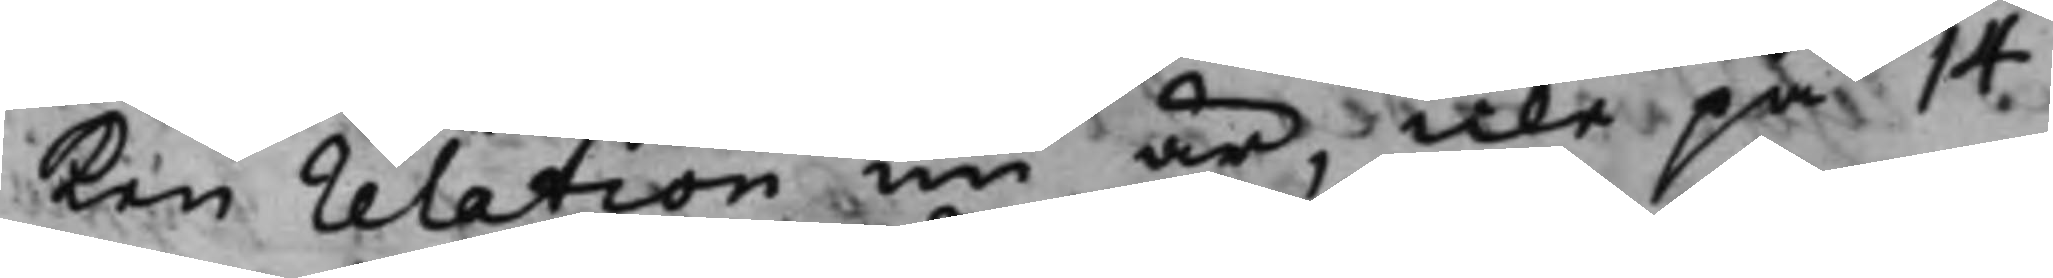ken relation nu är, icke på 14
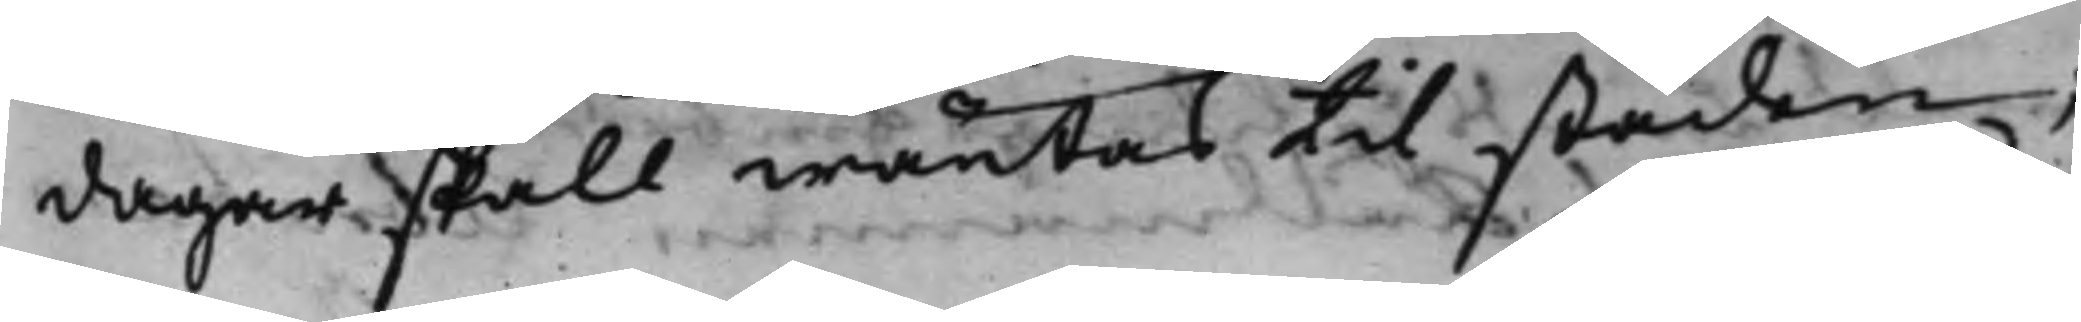dagar skall wäntas till staden;
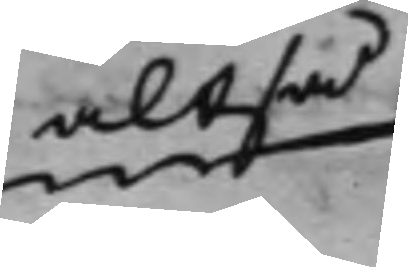altså
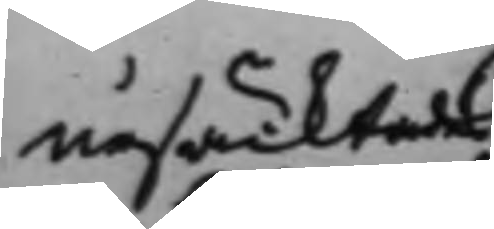ursäcktade
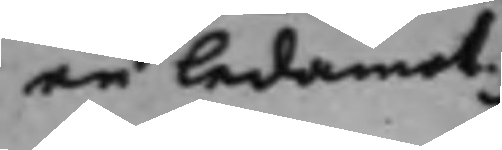en ledamot
